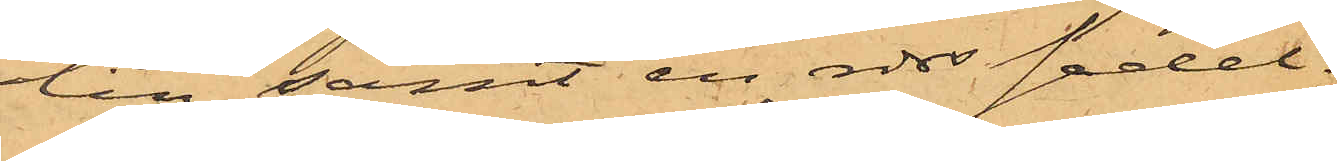lin samt en rdrs sedel.
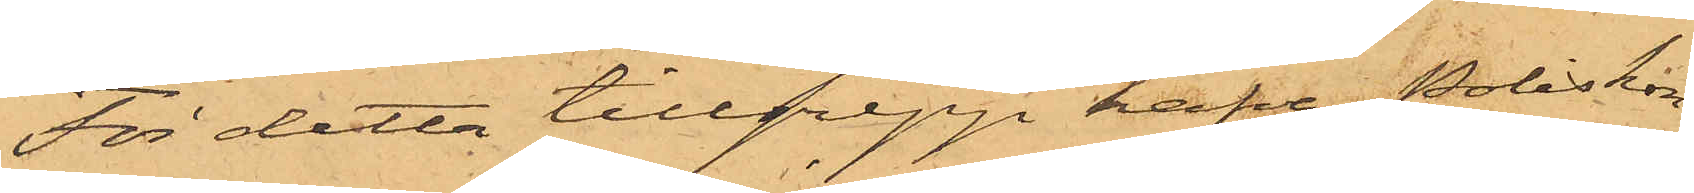För detta tillgrepp hafva Poliskon¬
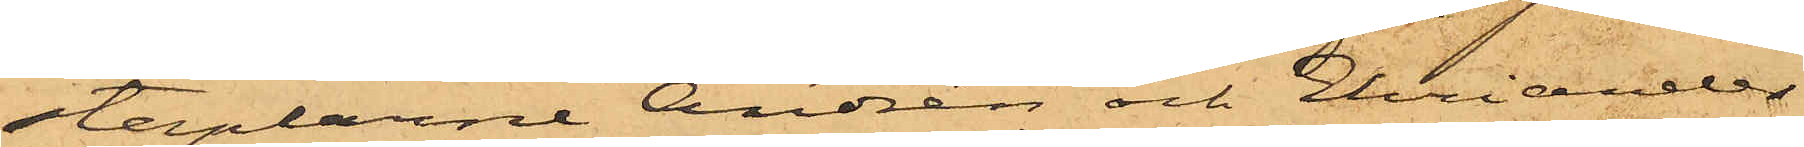staplarne Andrén och Ehriander
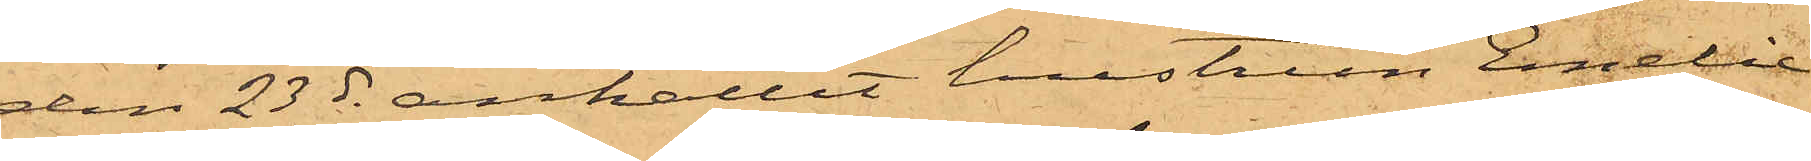den 23 ds anhållit hustrun Emilie
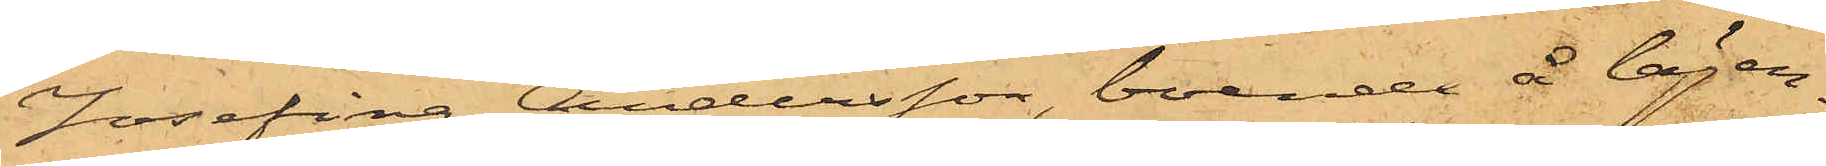Josefina Andersson, boende å lägen¬
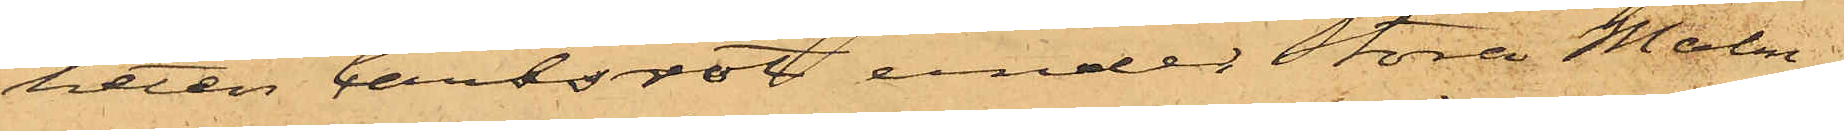heten Carlsrot, under Stora Malm¬
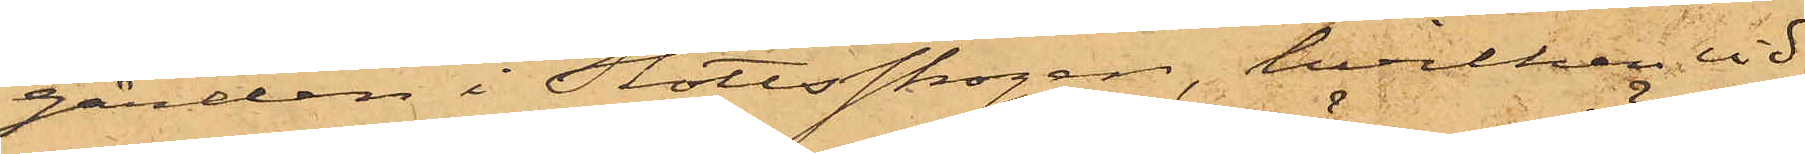gården i Slottsskogen, hvilken vid
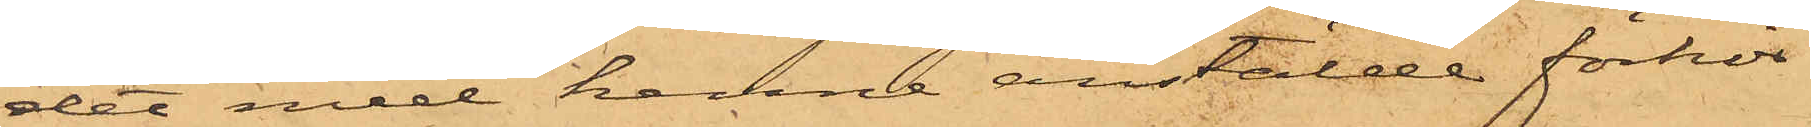det med henne anstälde förhör
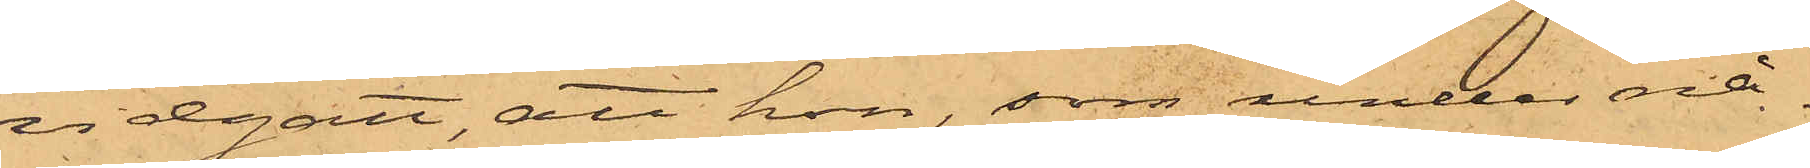vidgått, att hon, som under nå¬
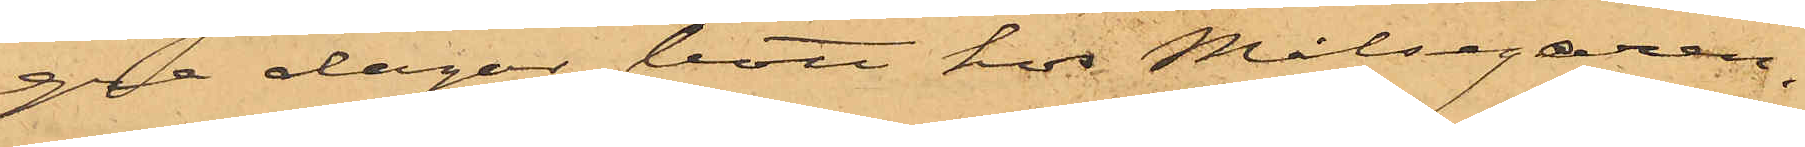gra dagar bott hos Målsegaren,
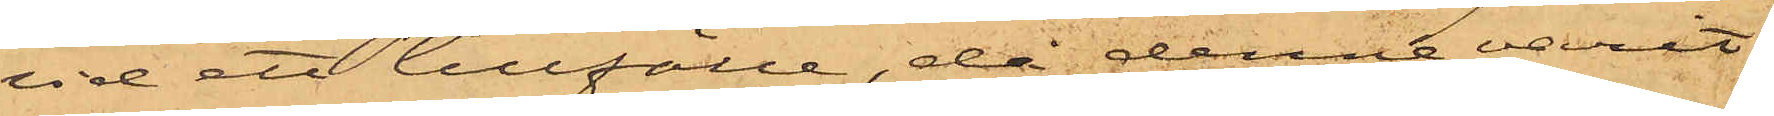vid ett tillfälle, då denne varit
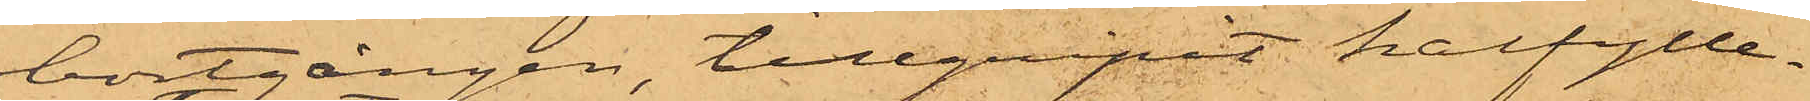bortgången, tillgripit halfylle¬
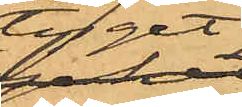tyget
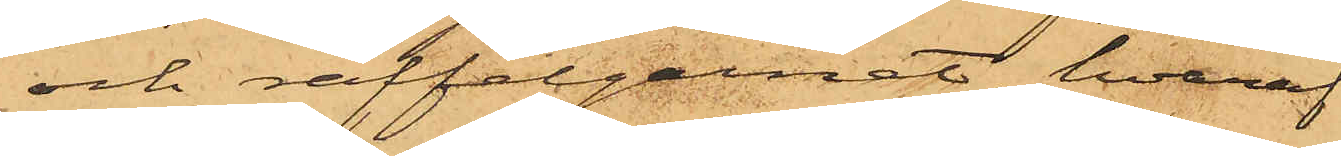och raffelgarnet, hvaraf
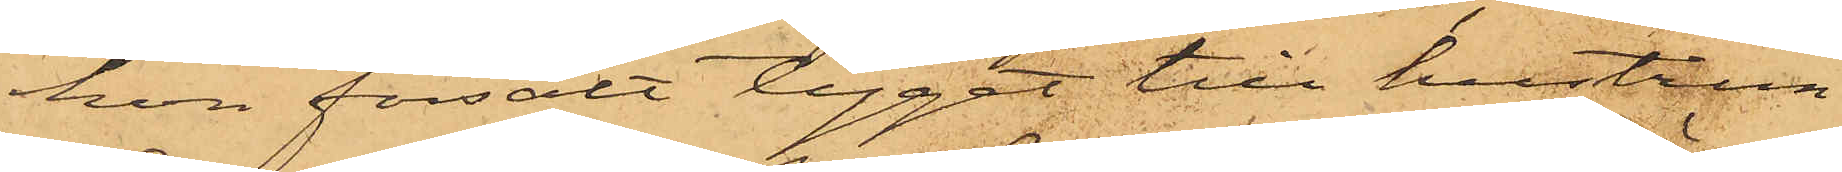hon försålt tyget till hustrun
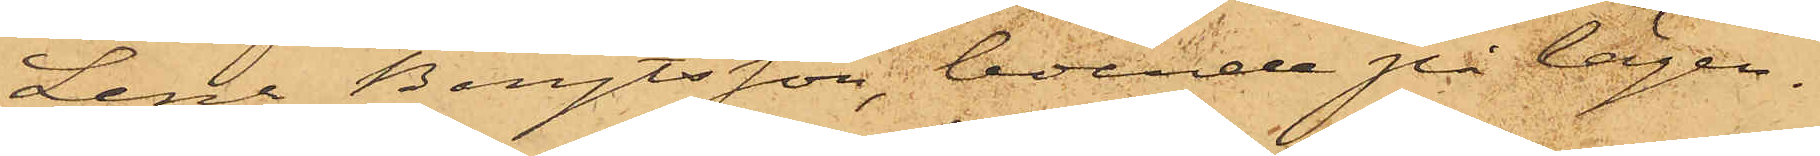Lena Bengtsson, boende på lägen¬
